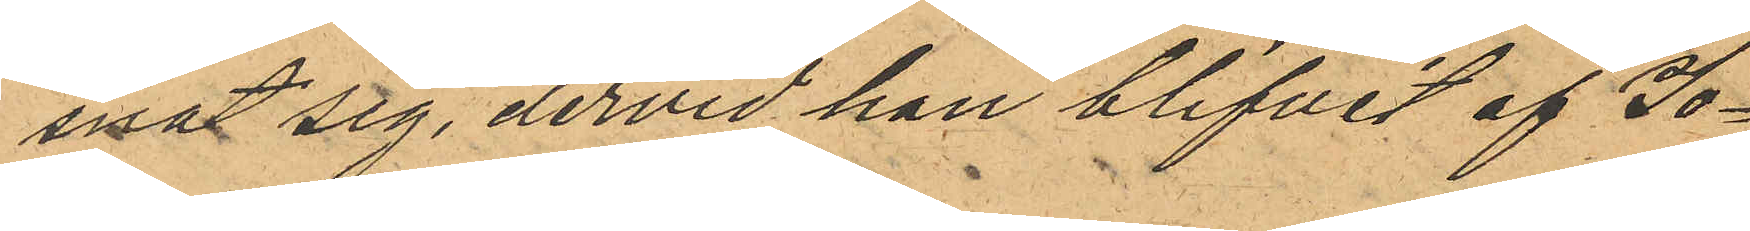snat sig, dervid han blifvit af Jo¬
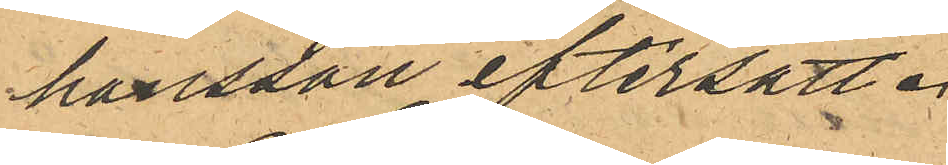hansson eftersatt.
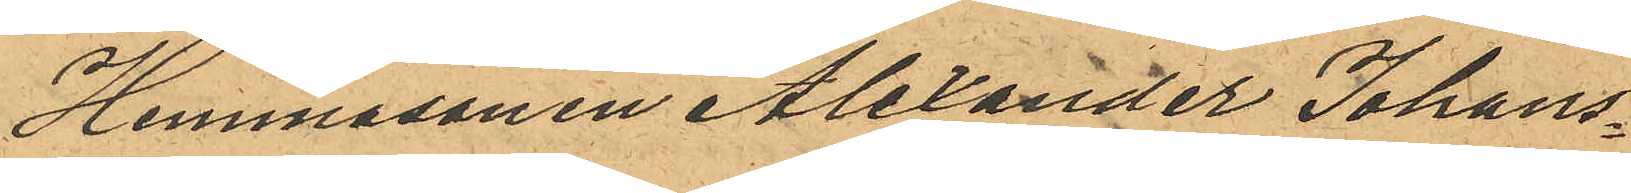Hemmasonen Alexander Johans¬
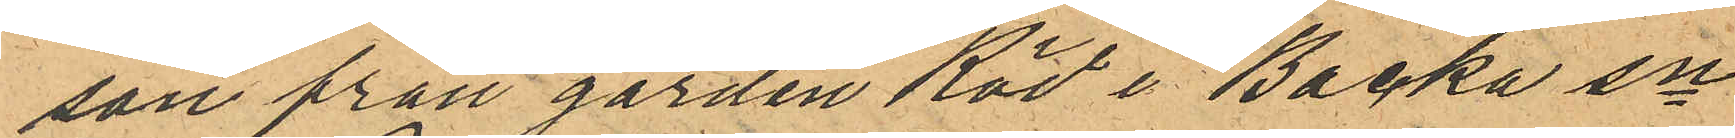son från gården Röd i Backa sn
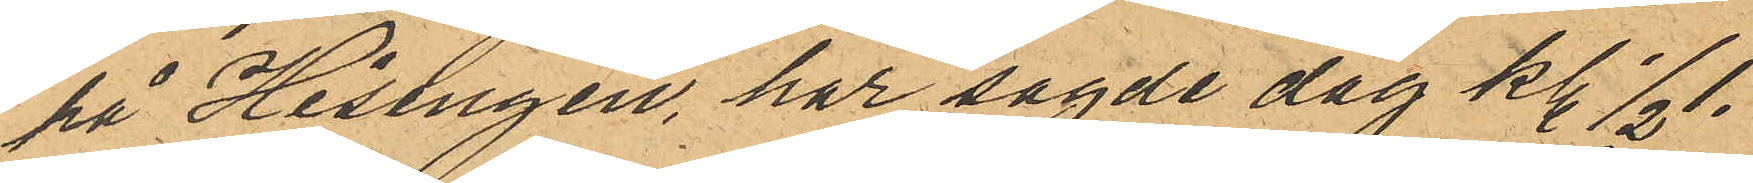på Hisingen, har sagde dag kl. 1/2 1.
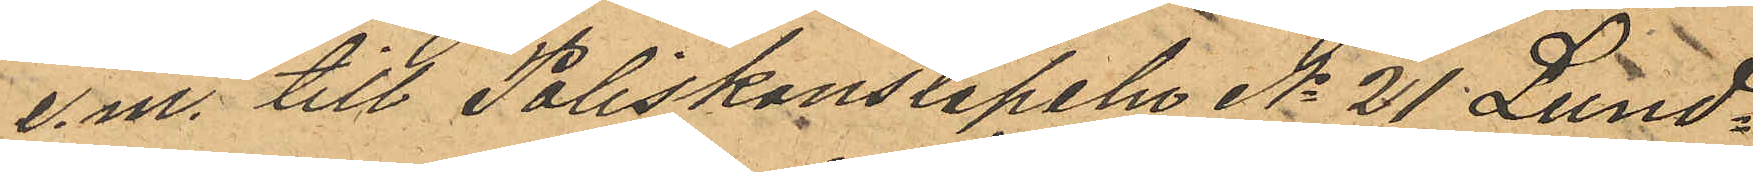e.m. till Poliskonstapeln No 21 Lund¬
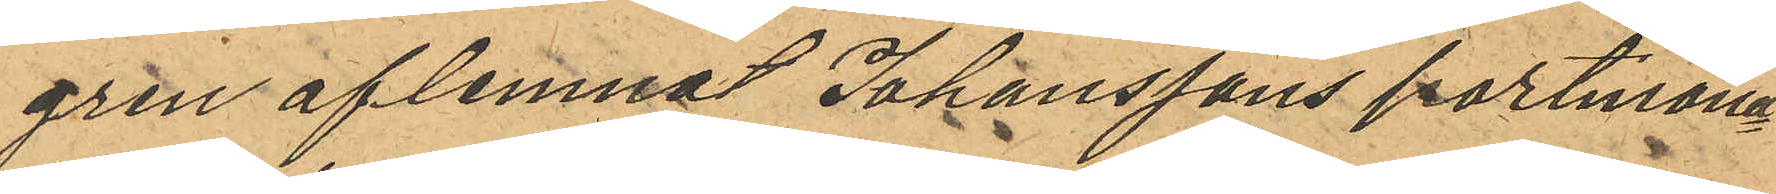gren aflemnat Johanssons portmona¬
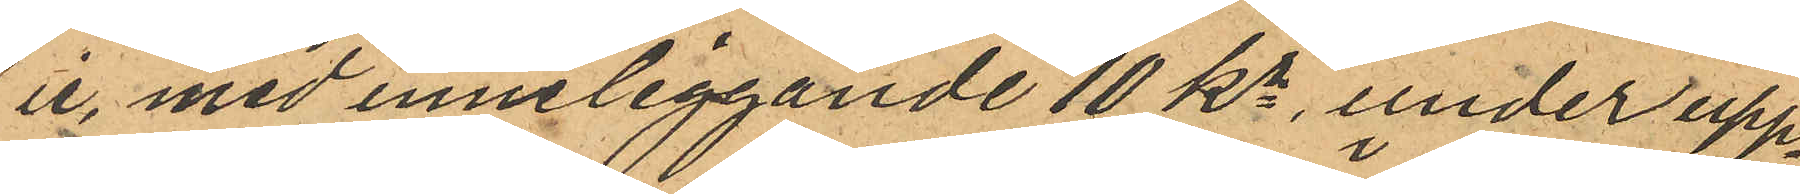ie, med inneliggande 10 Kr, under upp¬
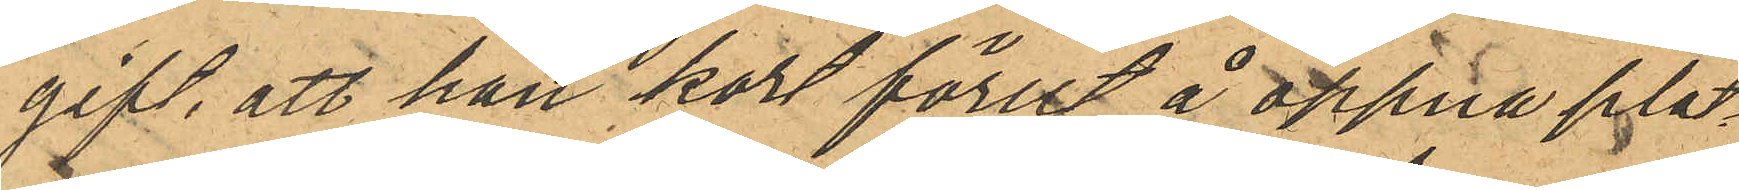gift, att han kort förut å öppna plat¬
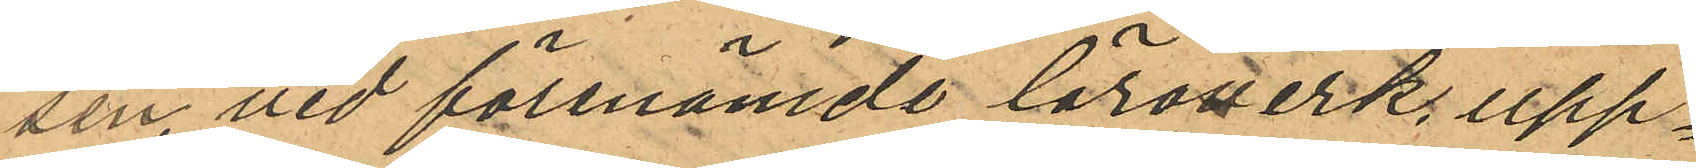sen vid förenämde läroverk upp¬
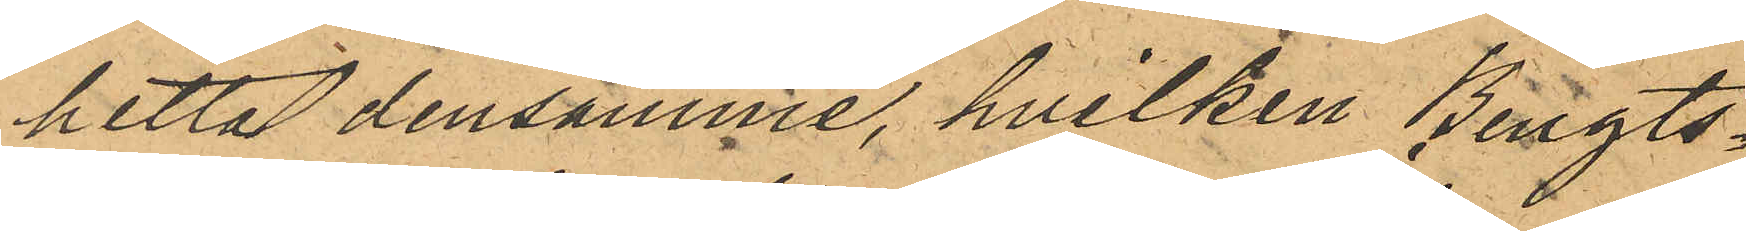hittat densamme, hvilken Bengts¬
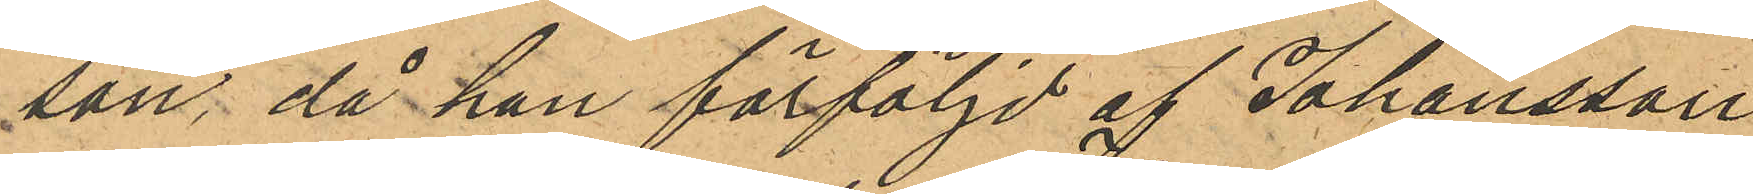son, då han förföljd af Johansson
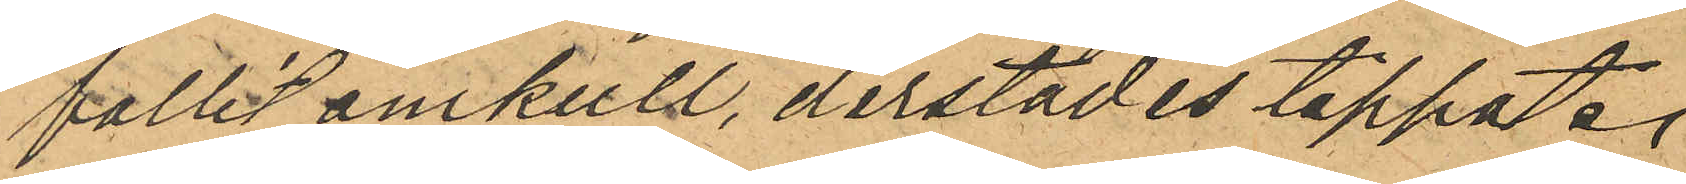fallit omkull, derstädes tappat.
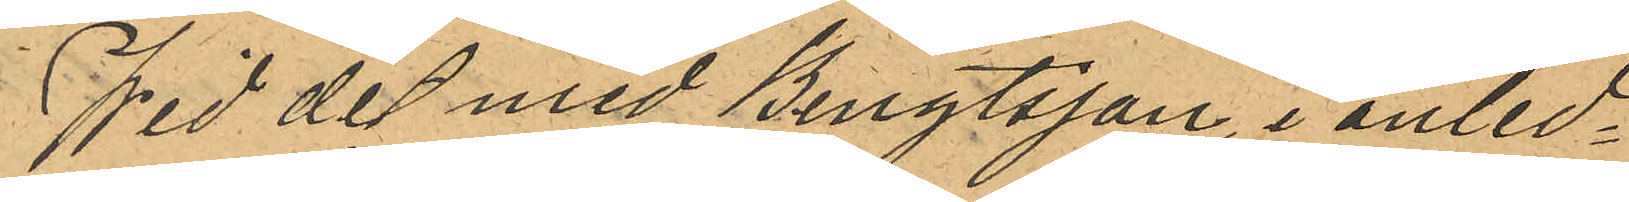Wid det med Bengtsson i anled¬
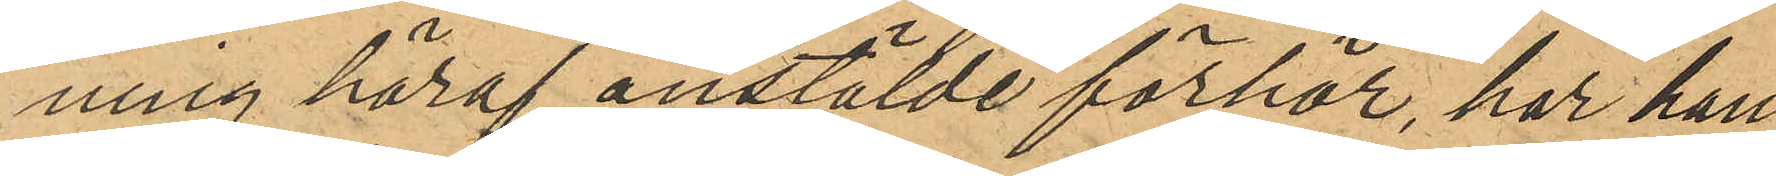ning häraf anstälde förhör, har han
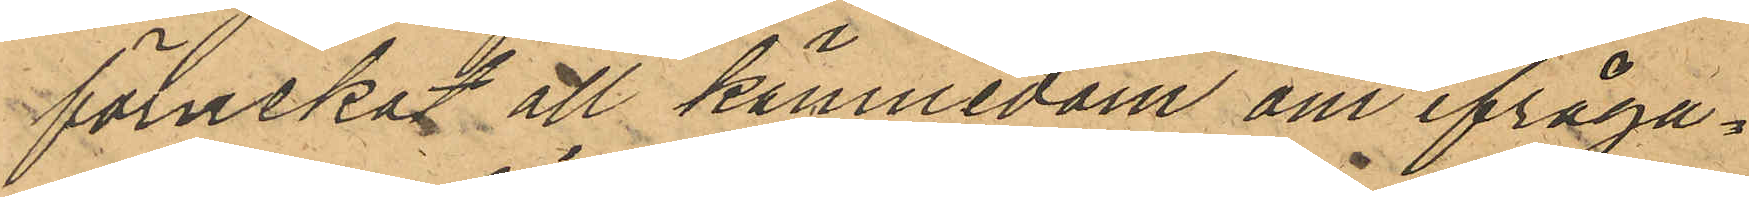förnekat all kännedom om ifråga¬
